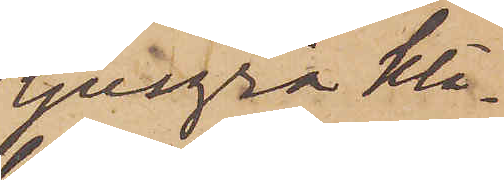ljusgrå klä¬
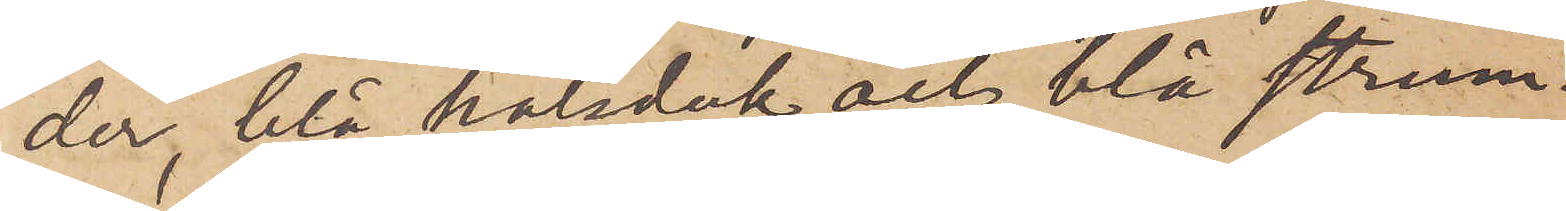der, blå halsduk och blå strum¬
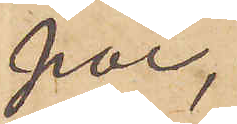por,
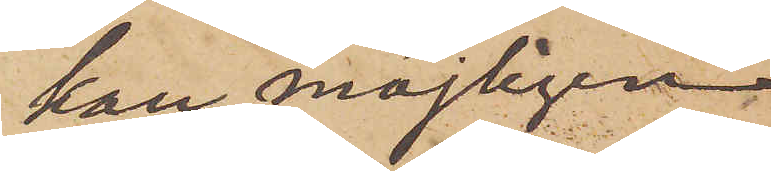kan möjligen
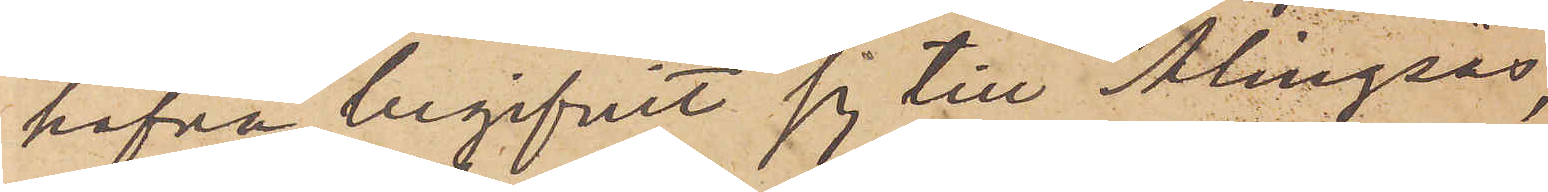hafva begifvit sig till Alingsås,
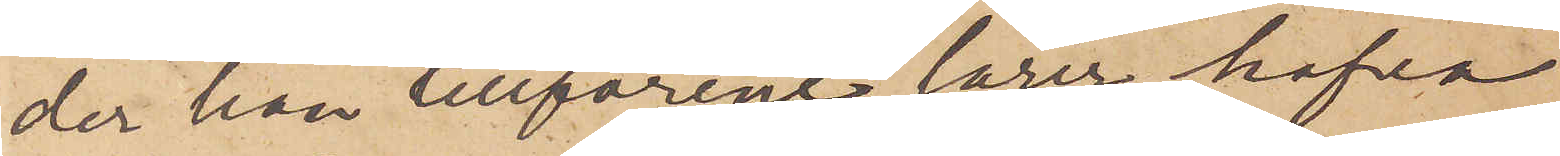der han tillförene lärer hafva
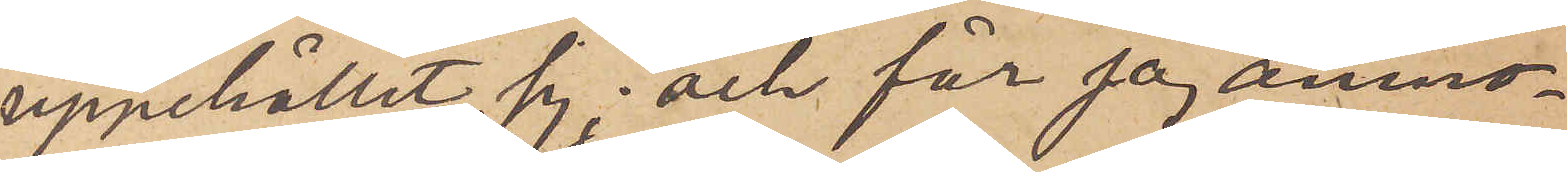uppehållit sig och får jag anmo¬
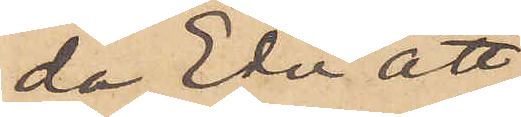da Eder att
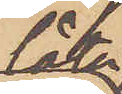låta
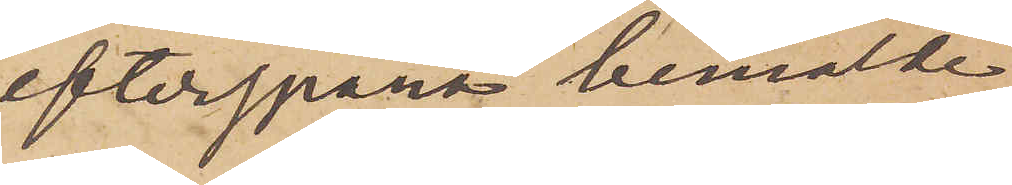efterspana bemälde
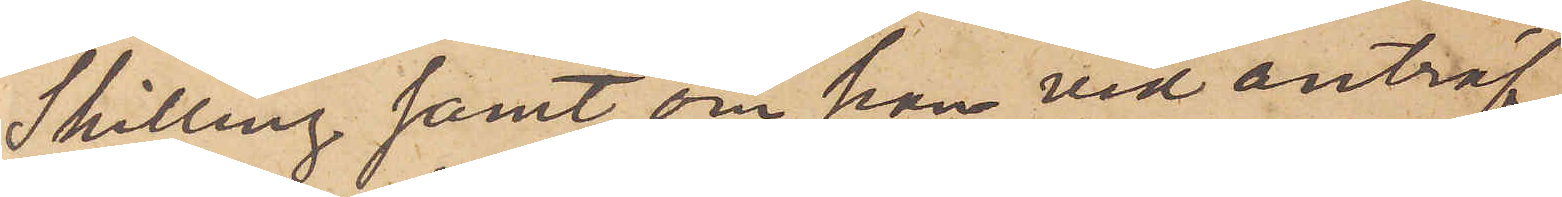Schilling samt, om han vid anträf¬
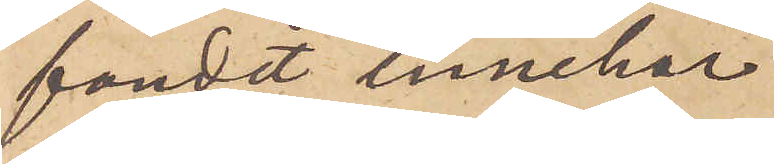fandet innehar
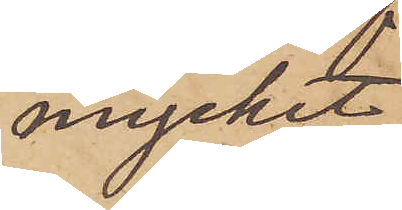mycket
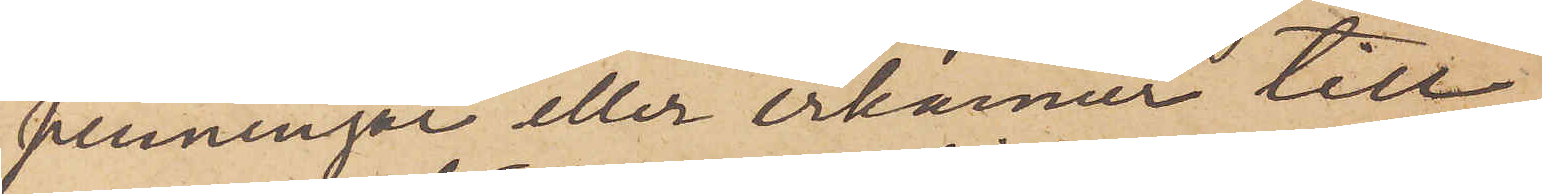penningar eller erkänner till¬
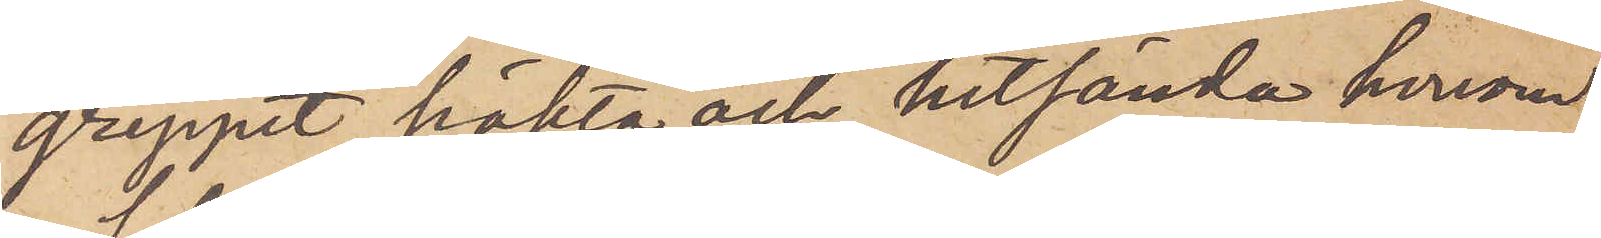greppet, häkta och hitsända honom.
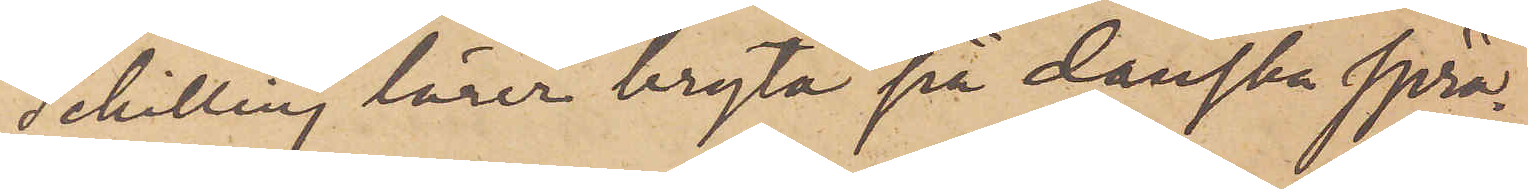Schilling lärer bryta på danska språ¬
